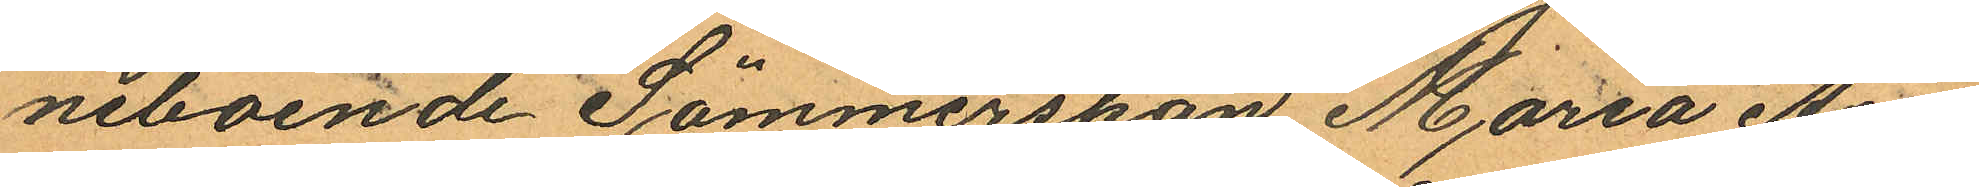neboende Sömmerskan Maria Au¬
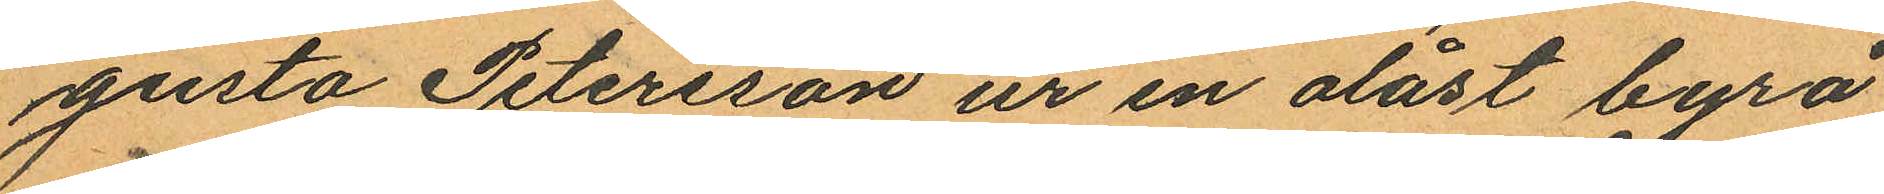gusta Petersson ur en olåst byrå
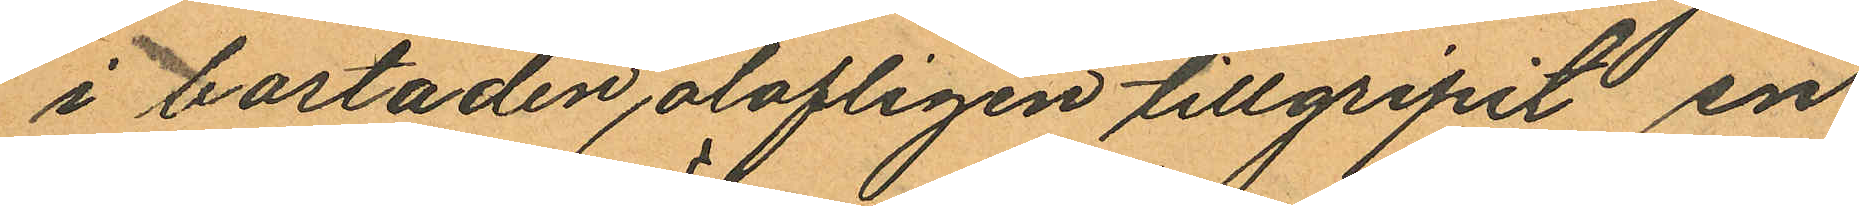i bostaden olofligen tillgripit en
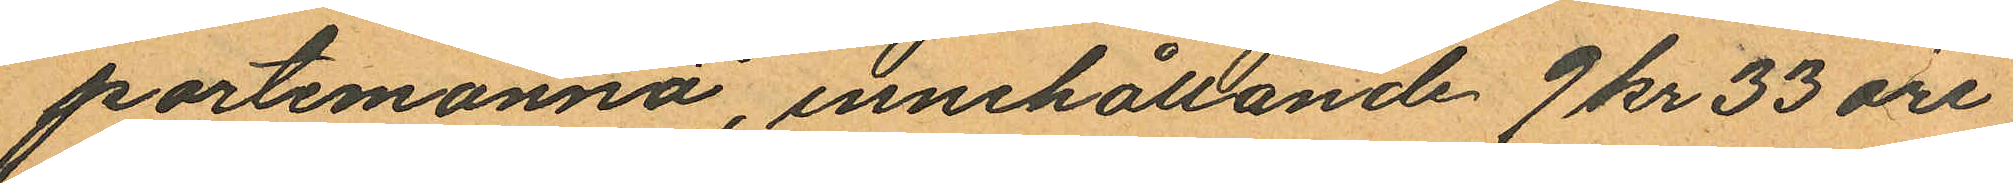portemonnä, innehållande 9 kr 33 öre
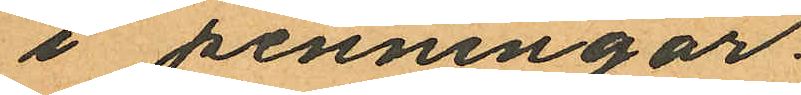i penningar.
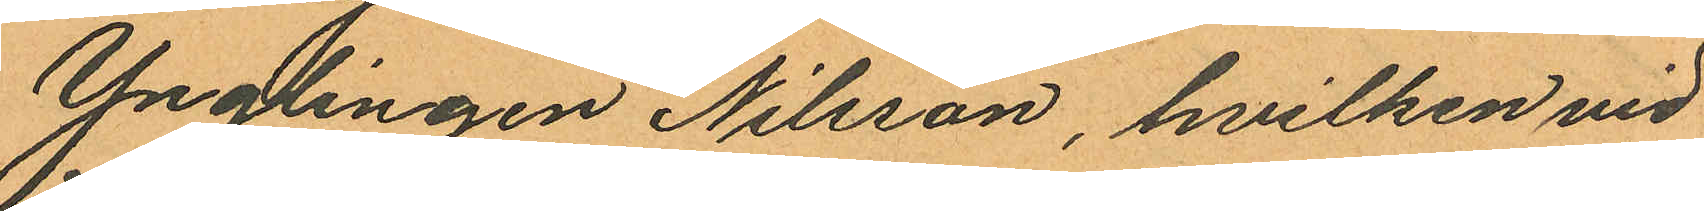Ynglingen Nilsson, hvilken vid
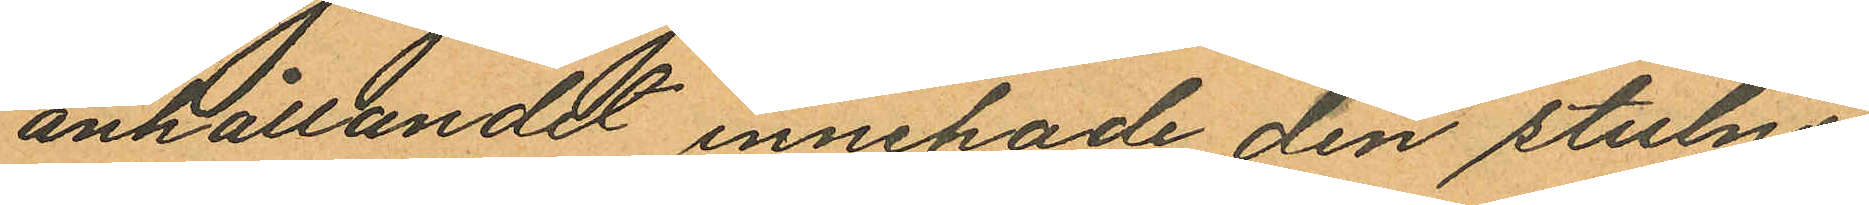anhållandet innehade den stulne
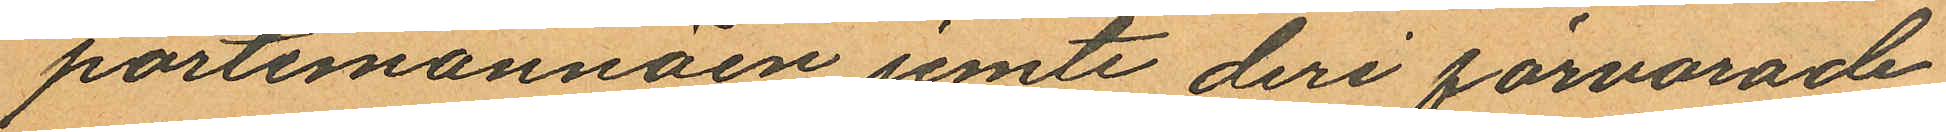portemonnäen jemte deri förvarade
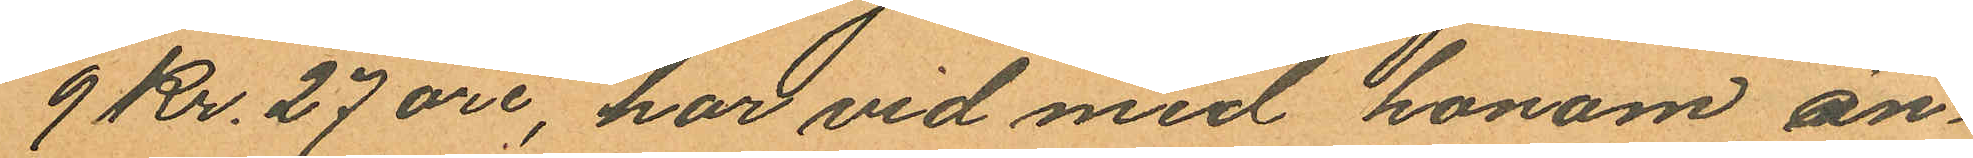9 Kr. 27 öre, har vid med honom an¬
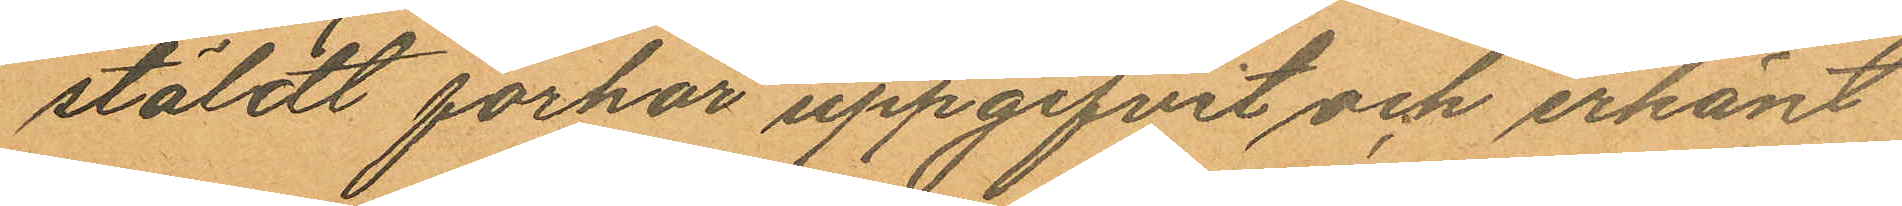stäldt förhör uppgifvit och erkänt
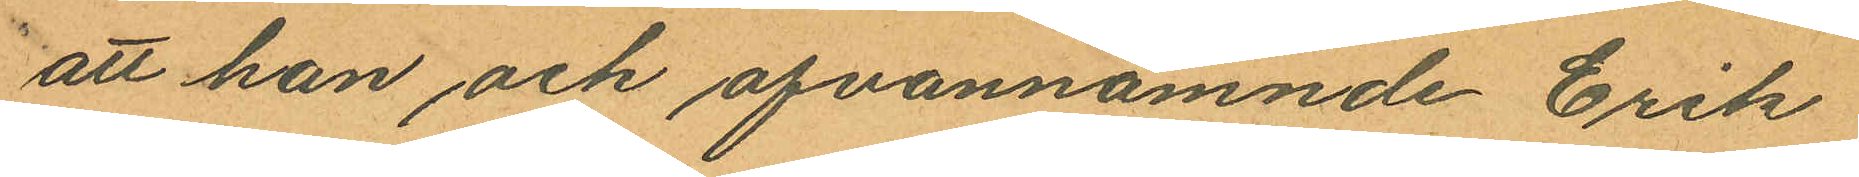att han och ofvannämnde Erik
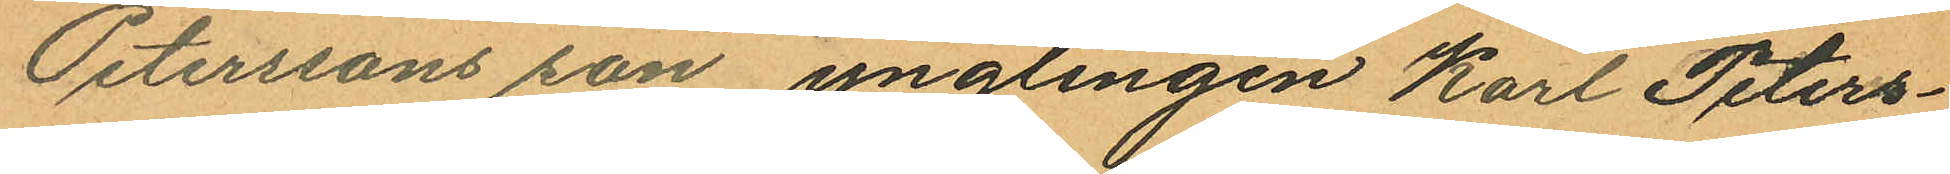Peterssons son ynglingen Karl Peters¬
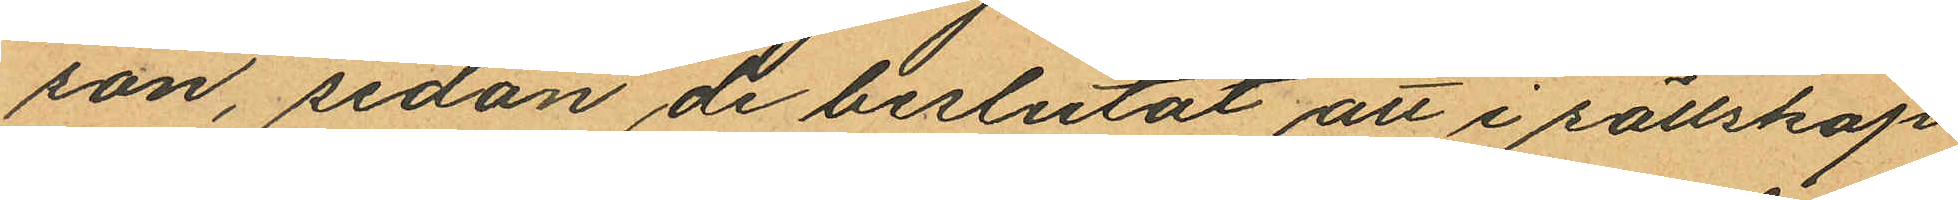son, sedan de beslutat att i sällskap
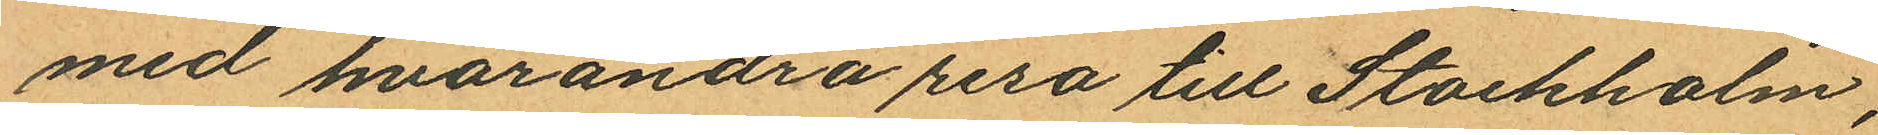med hvarandra resa till Stockholm,
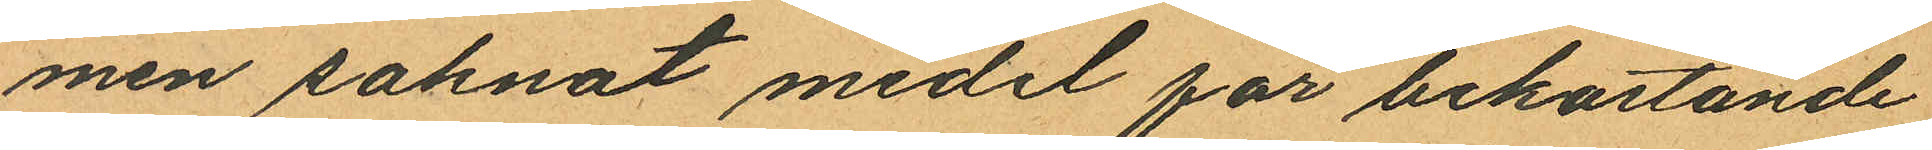men saknat medel för bekostande
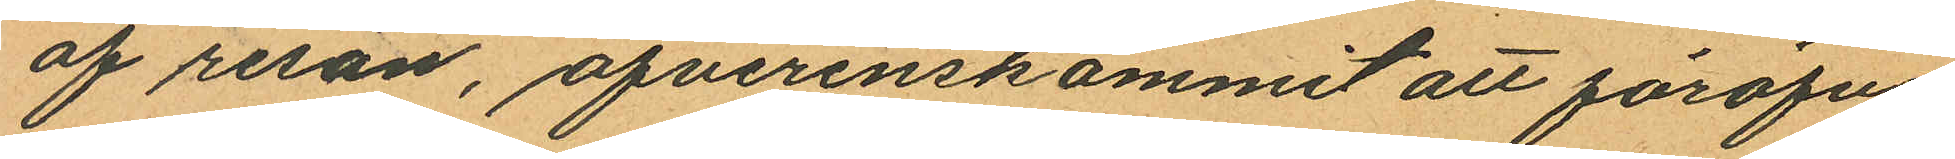af resan, öfverenskommit att föröfva
